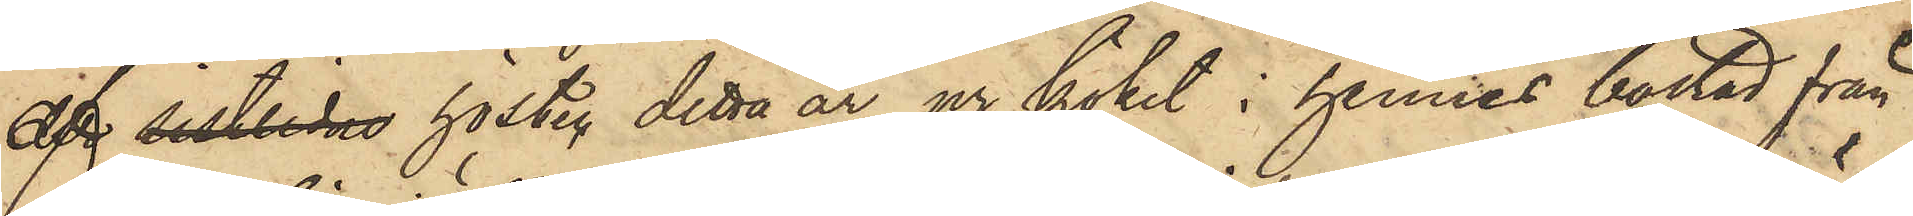af sistlidne hösten detta år ur köket i hennes bostad från
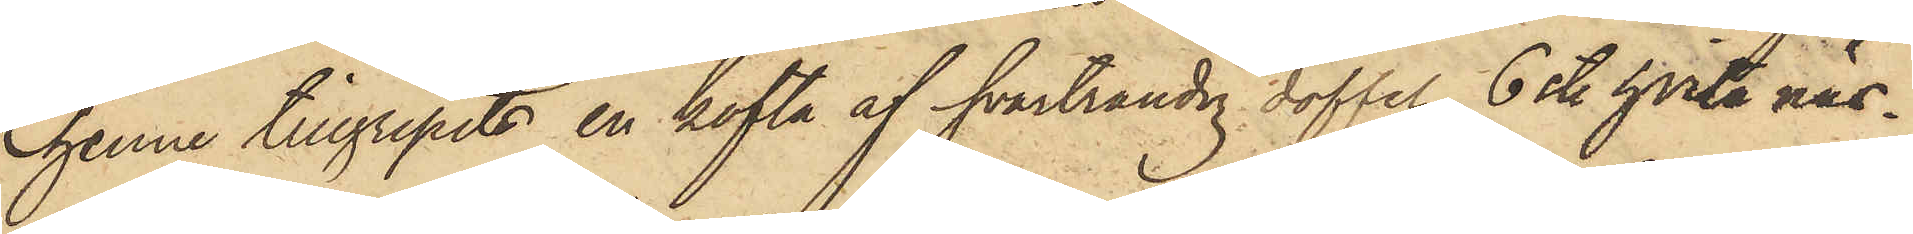henne tillgripits en kofta af svartrandig doffel, 6 st. hvita näs¬
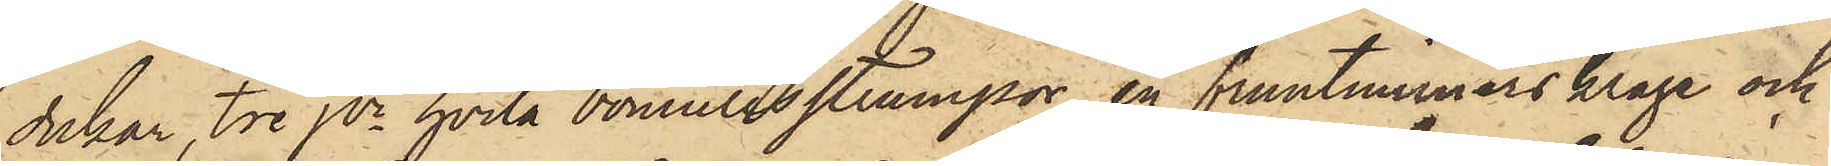dukar, tre pr hvita bomullsstrumpor, en fruntimmerskrage och
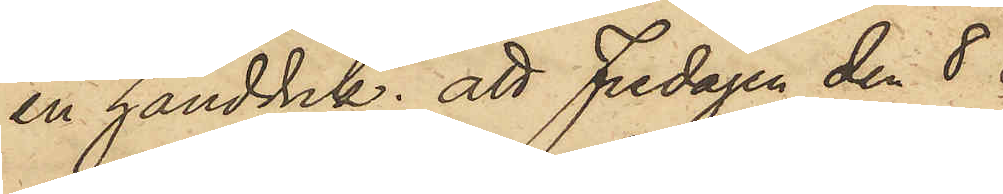en handduk; att Fredagen den 8 
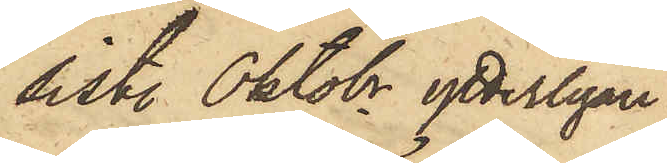sist. Oktobr ytterligare
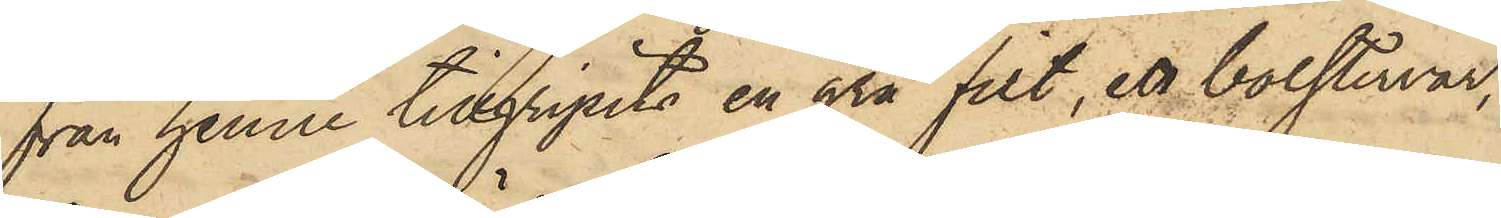från henne tillgripits en grå filt, ett bolstervar,
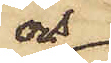och
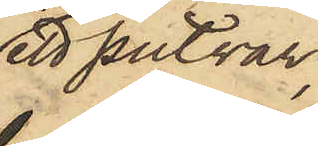ett putvar,
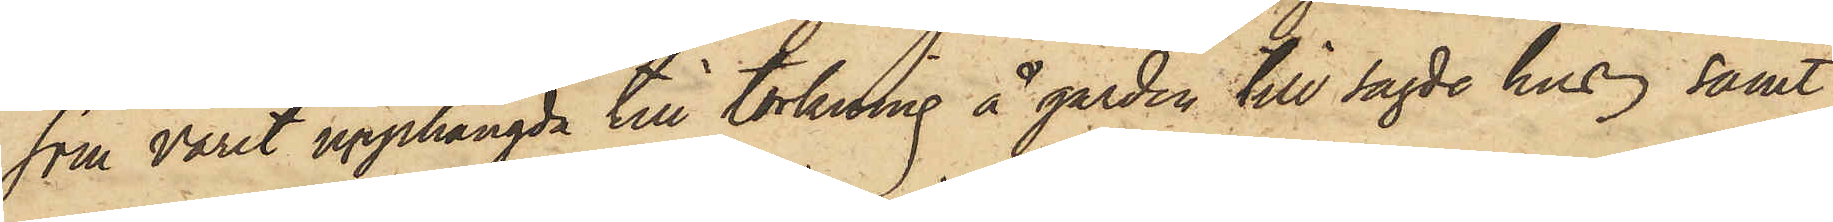som varit upphängda till torkning å gården till sagde hus, samt
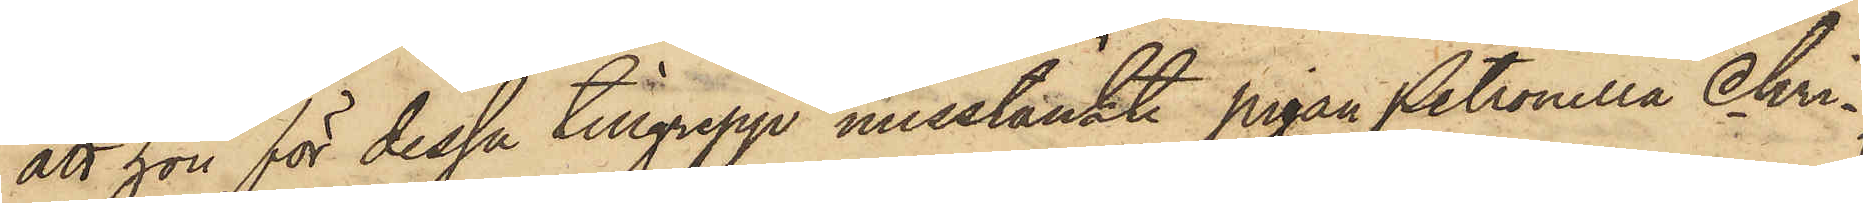att hon för dessa tillgrepp misstänkte pigan Petronella Chri¬
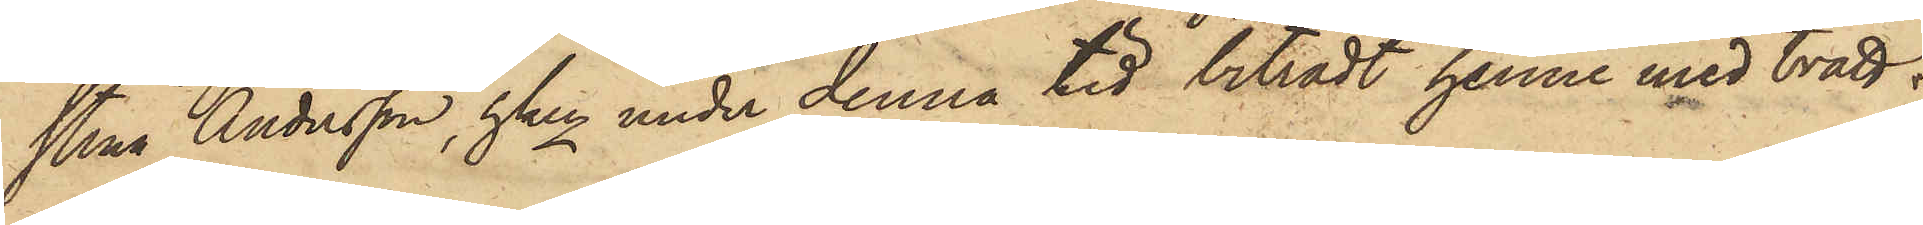stina Andersson, hken under denna tid biträdt henne med tvätt¬
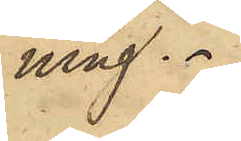ning.
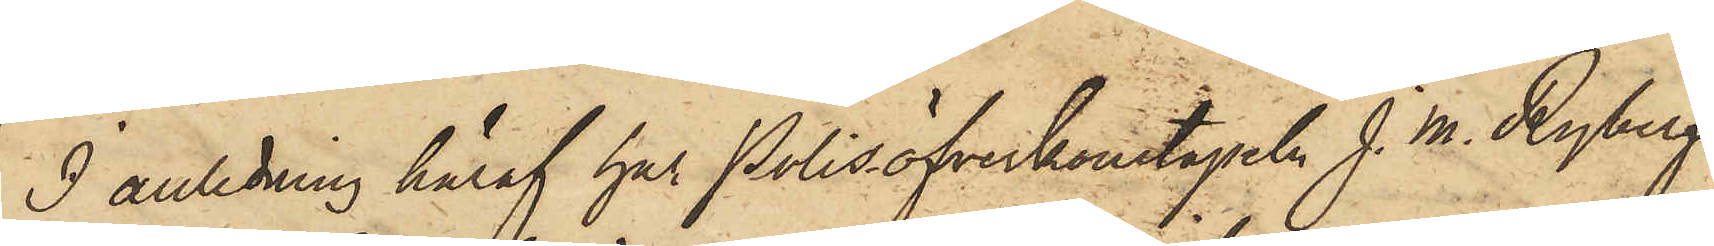I anledning häraf har Polisöfverkonstapeln J. M. Ryberg
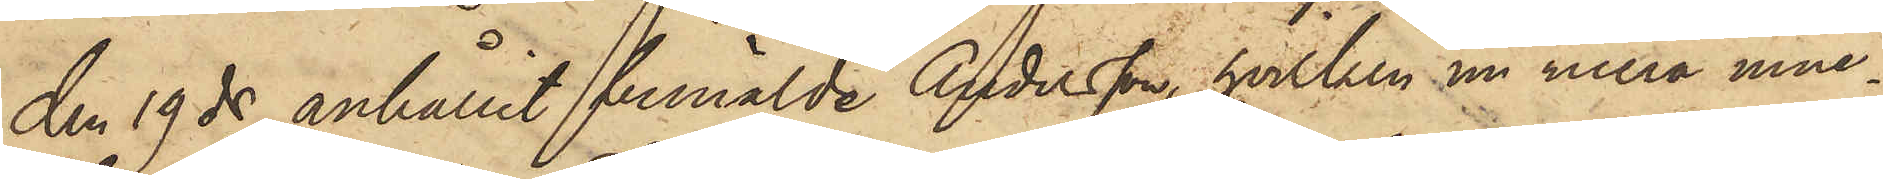den 19 ds anhållit bemälde Andersson, hvilken nu mera inne¬
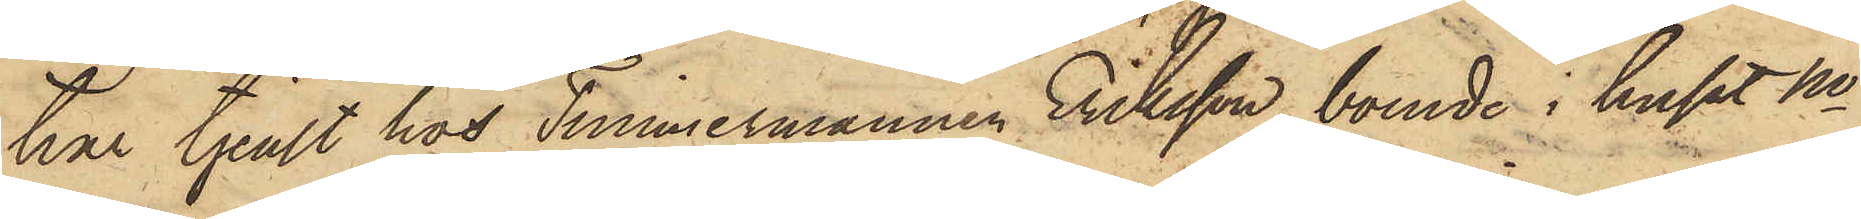har tjenst hos Timmermannen Eriksson, boende i huset No
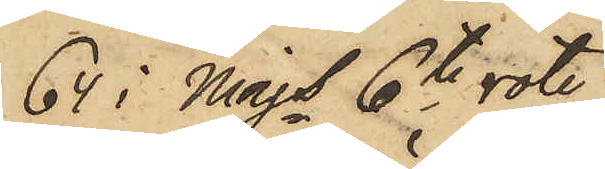64 i Majs 6te rote;
